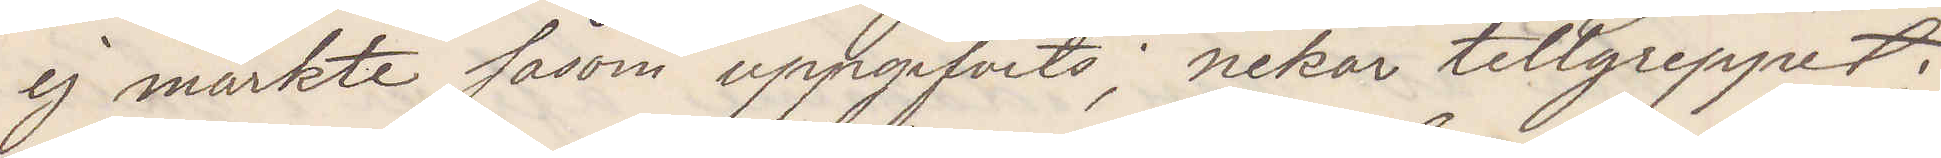ej märkte såsom uppgifvits; nekar tillgreppet;
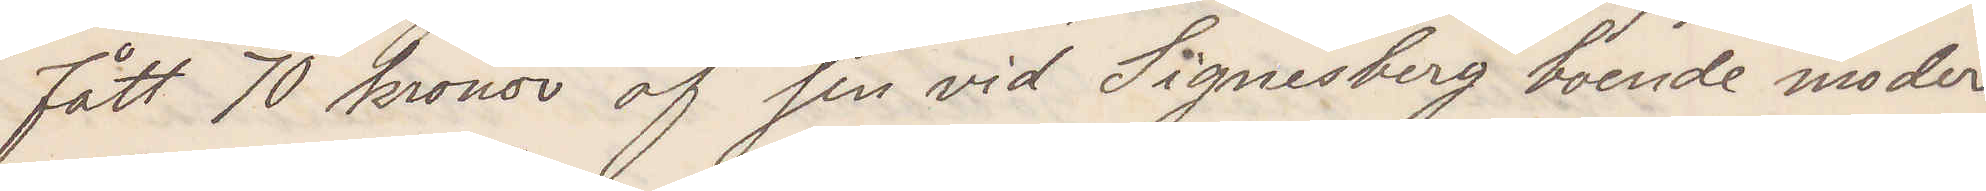fått 70 kronor af sin vid Signesberg boende moder
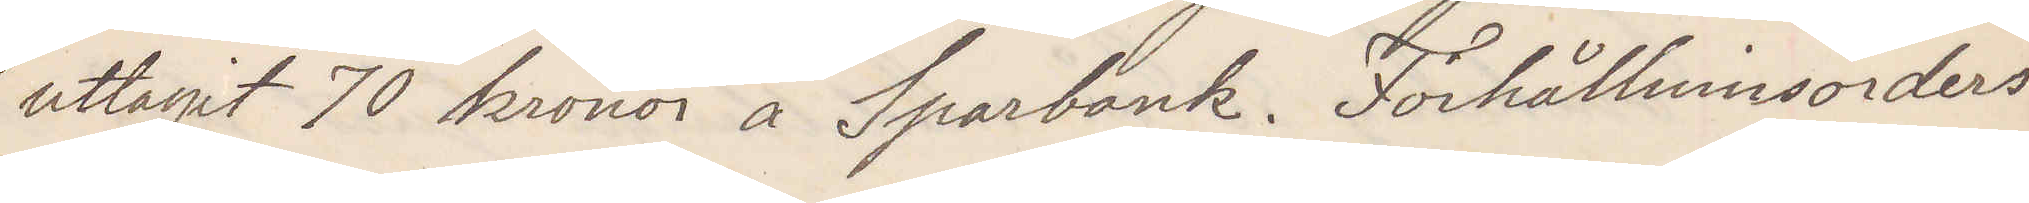uttagit 70 kronor å Sparbank. Förhållningsorders.
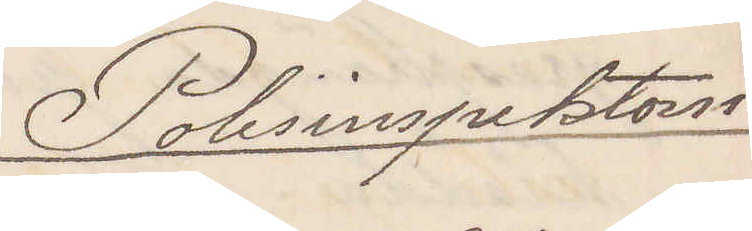Polisinspektorn
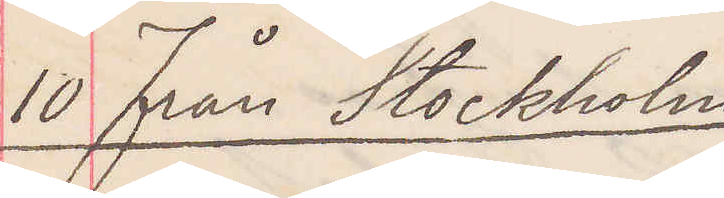10 Från Stockholm
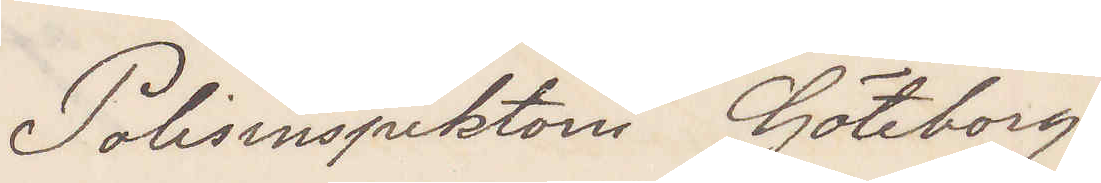Polisinspektorn Göteborg
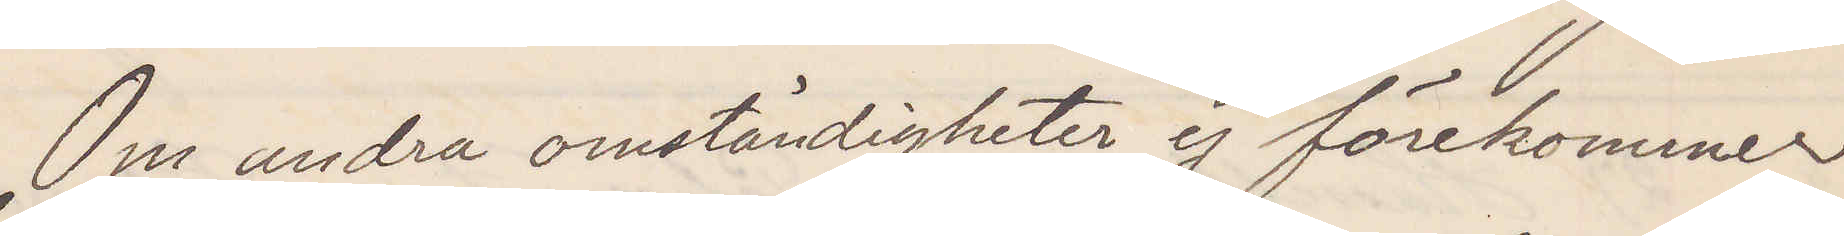Om andra omständigheter ej förekommer
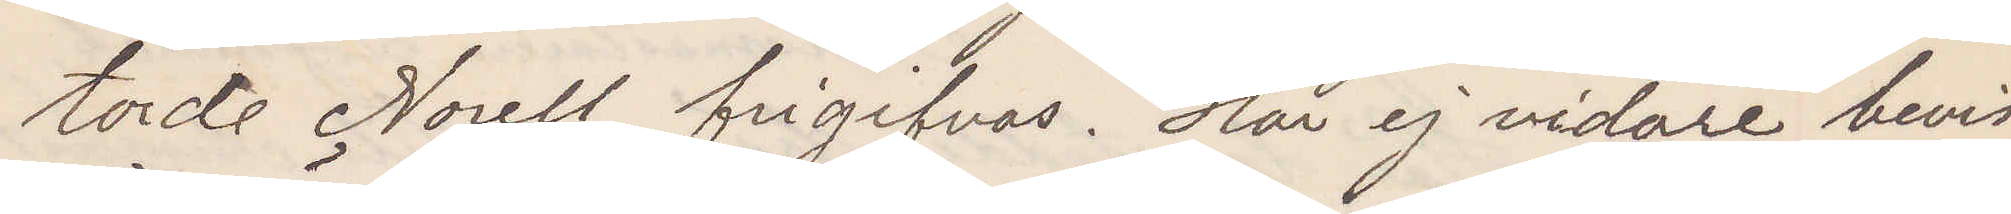torde Norell frigifvas. Här ej vidare bevis¬
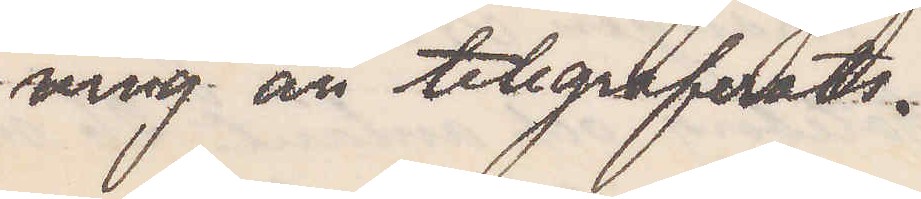ning än telegraferats.
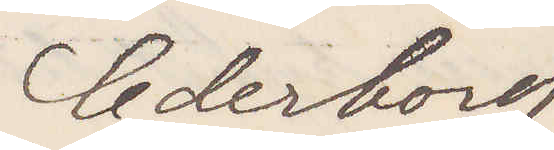Cederborg
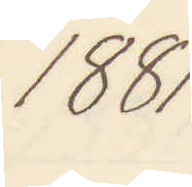1881.
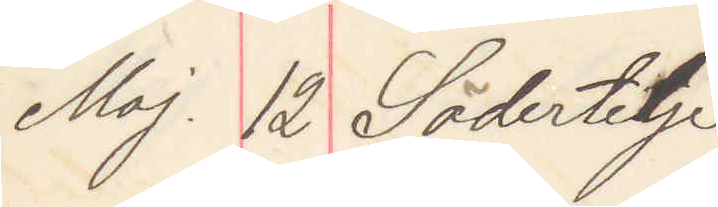Maj 12 Södertelje
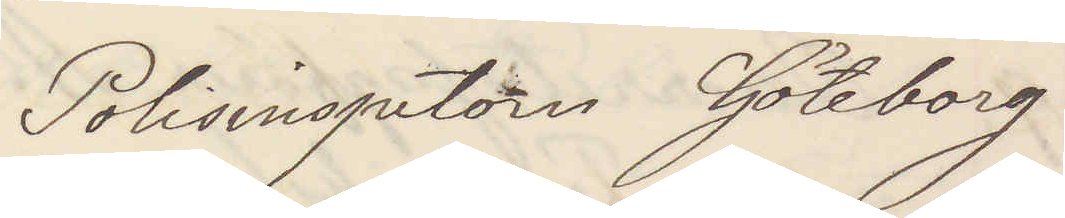Polisinspektorn Göteborg
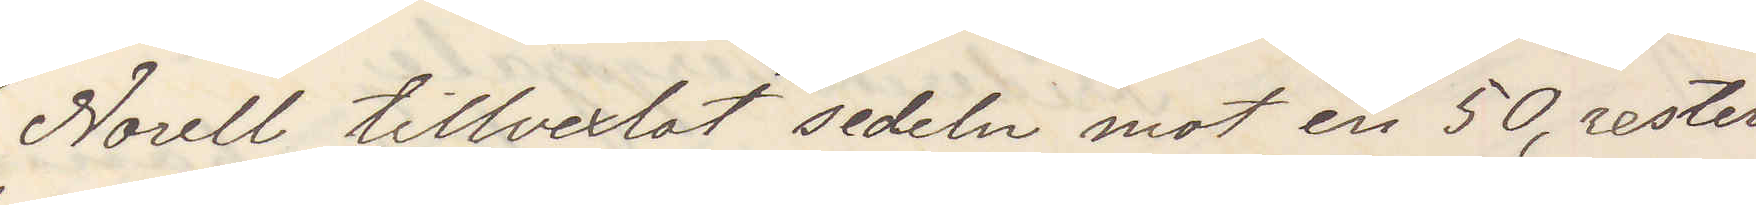Norell tillvexlat sedeln mot en 50, resten
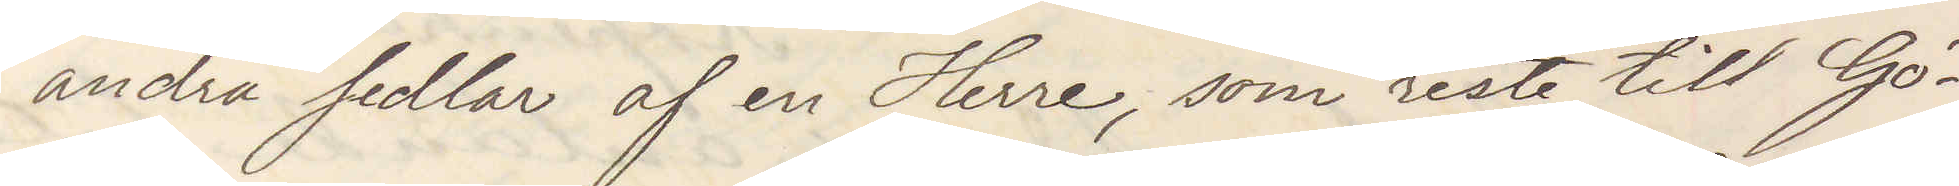andra sedlar af en Herre, som reste till Gö¬
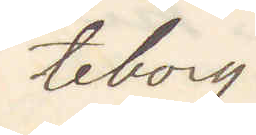teborg
